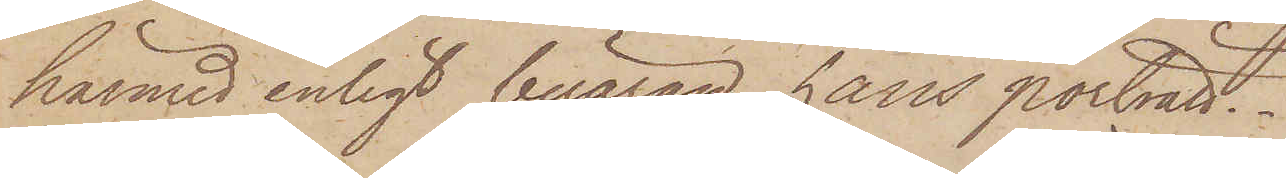härmed enligt beäran hans porträtt.
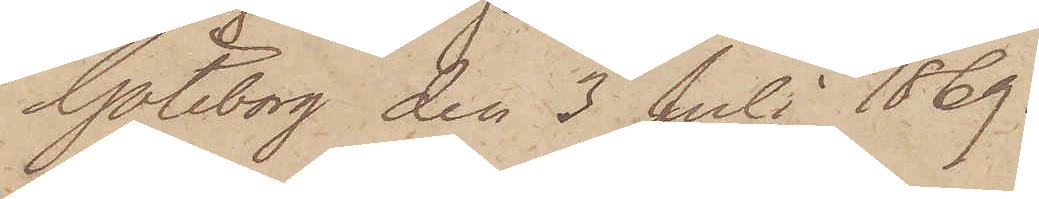Göteborg den 3 Juli 1869.
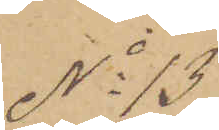No 13
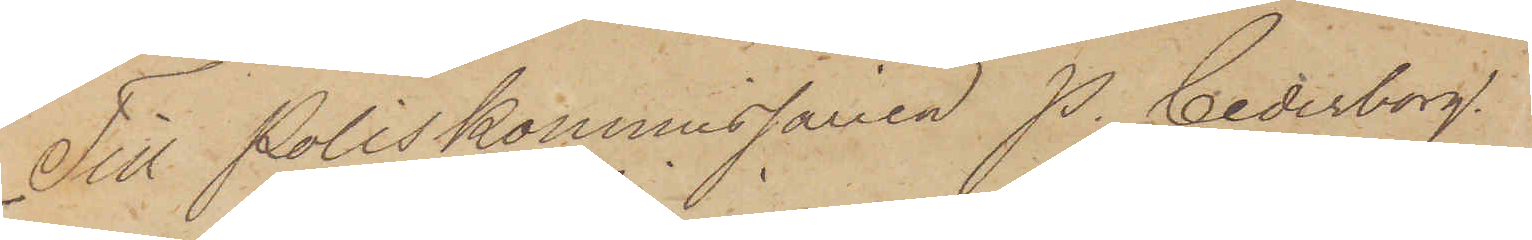Till Poliskommissarien P. Cederborg
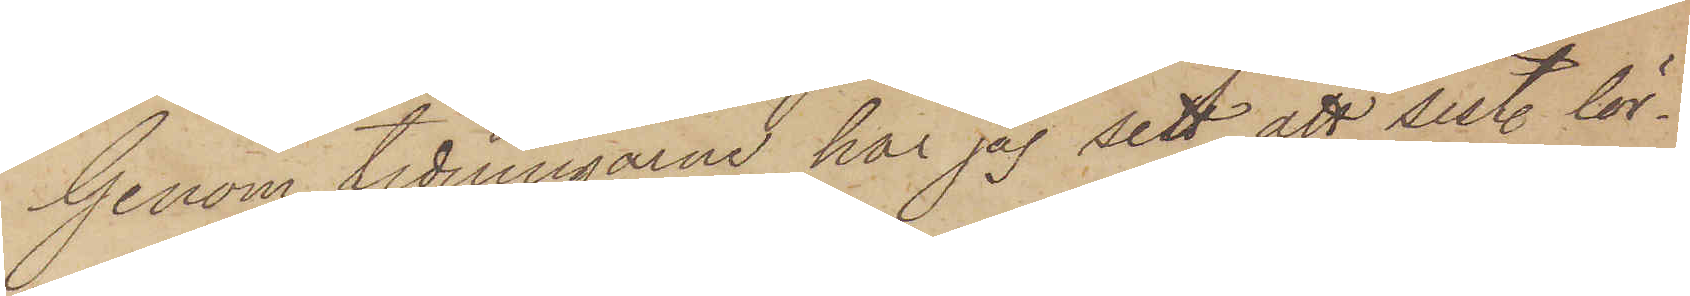Genom tidningarne har jag sett att sist. lör¬
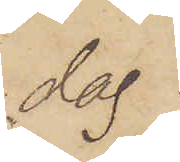dag
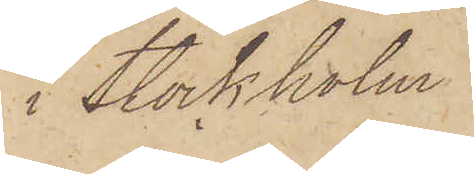i Stockholm
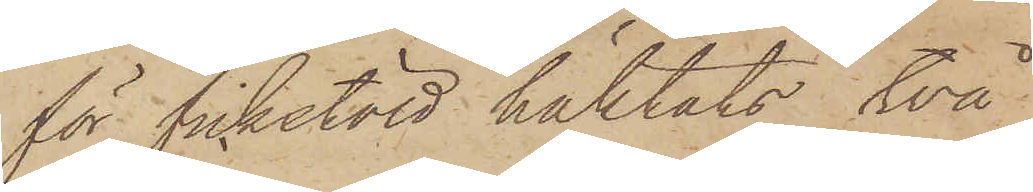för fickstöld häktats två
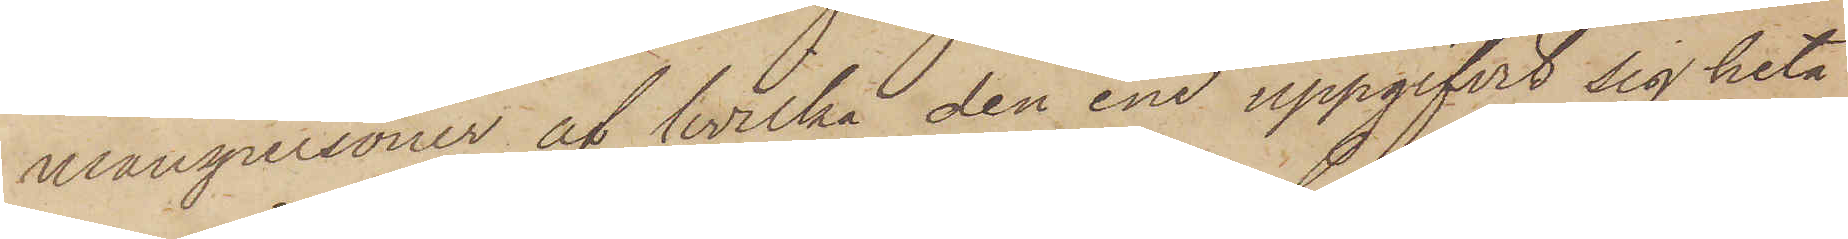manspersoner af hvilka den ene uppgifvit sig heta
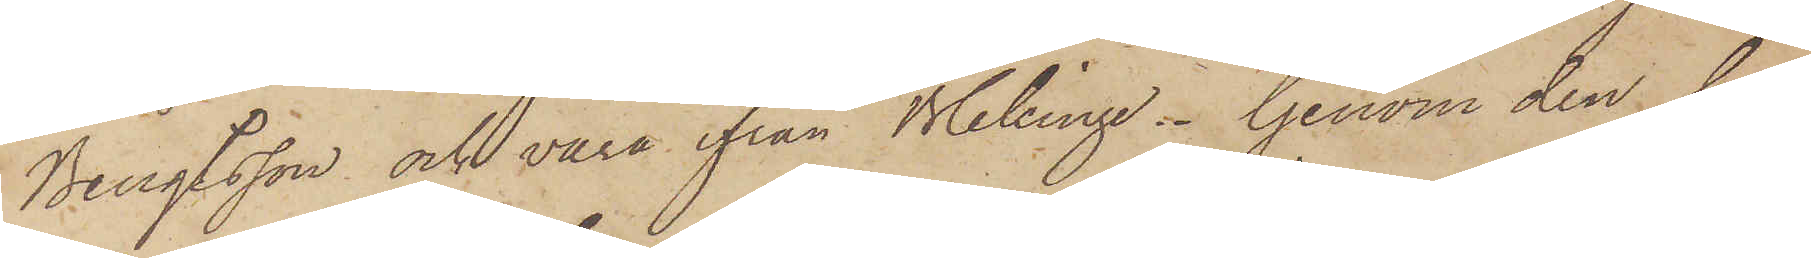Bengtsson och vara ifrån Blekinge. Genom den be¬
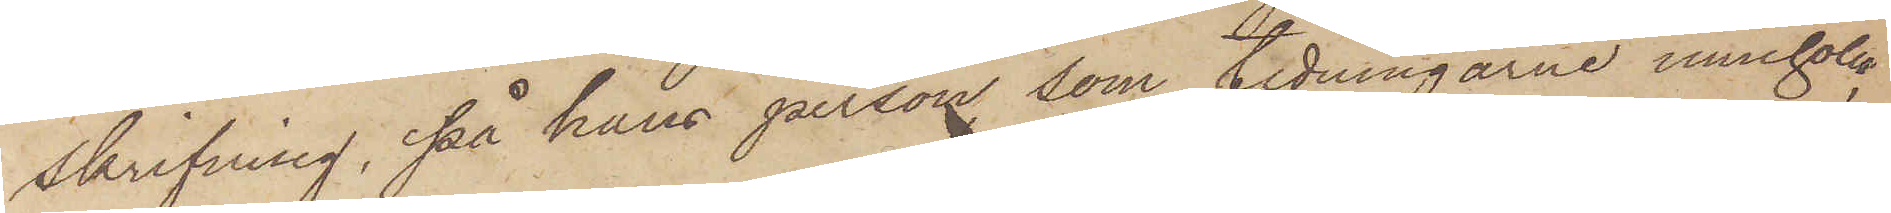skrifning, på hans person, som tidningarne innehöll,
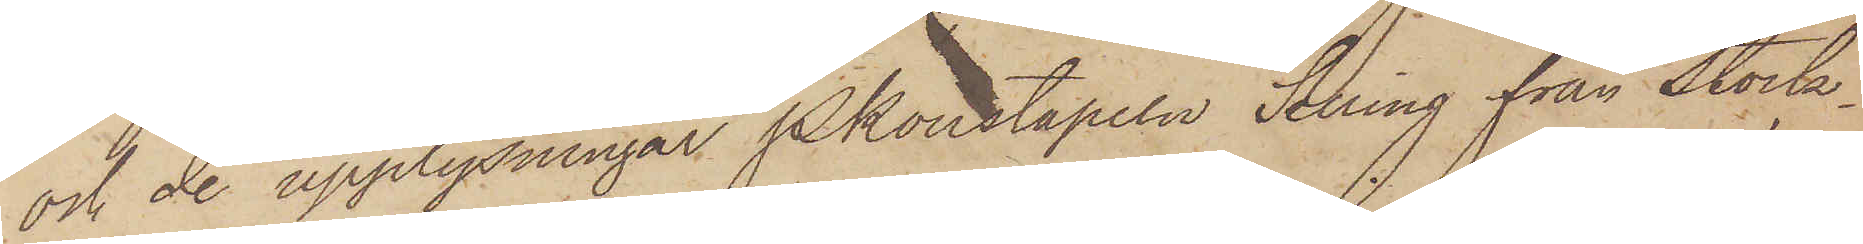och de upplysningar Pkonstapeln Selling från Stock¬
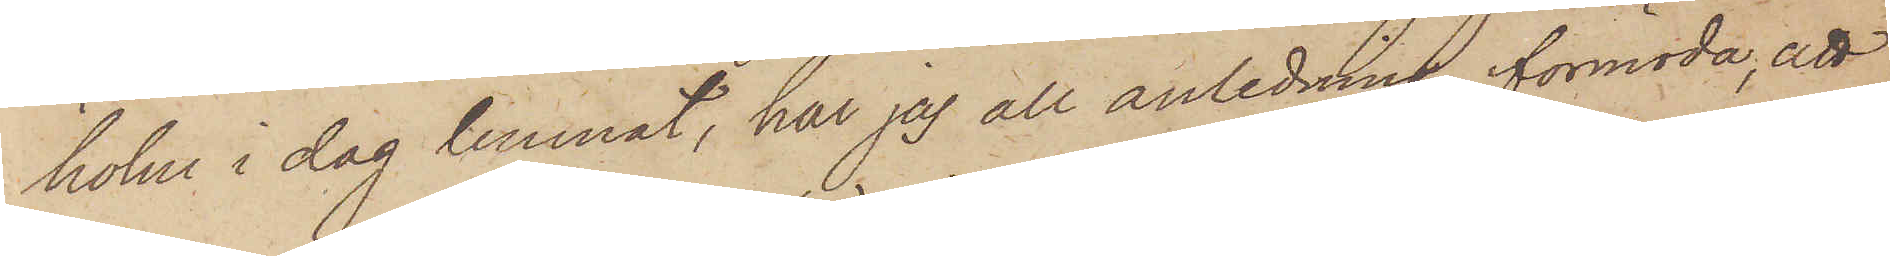holm i dag lemnat, har jag all anledning förmoda, att
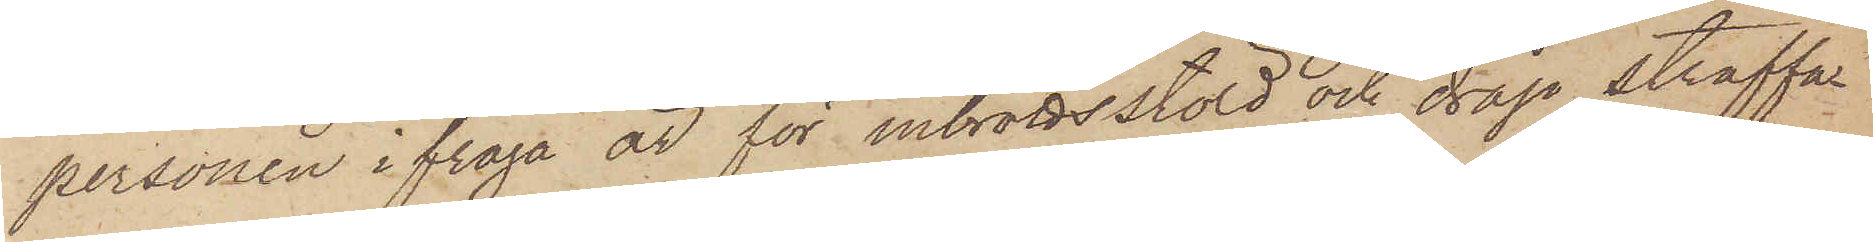personen ifråga är för inbrottsstöld och dråp straffa¬
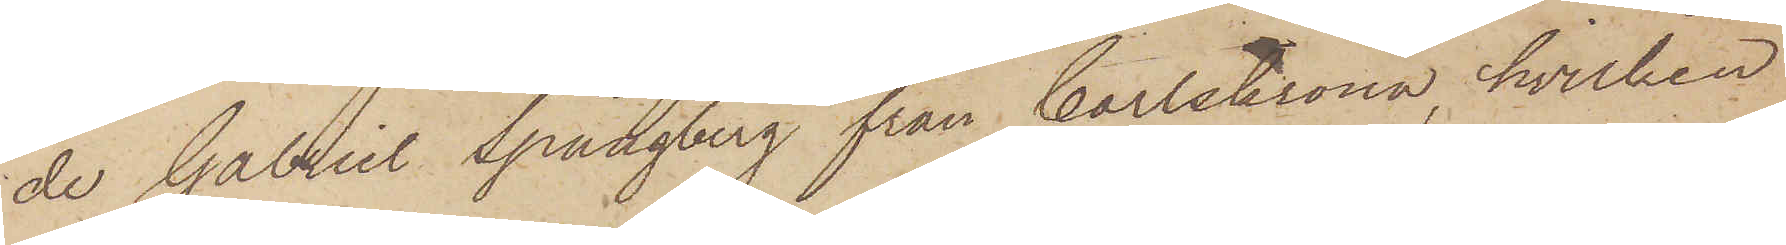de Gabriel Spångberg från Carlskrona, hvilken
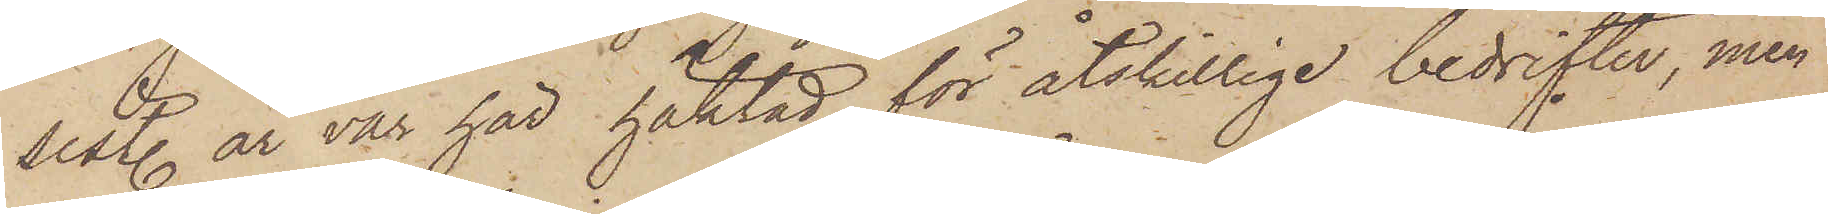sist. år var här häktad för åtskillige bedrifter, men
